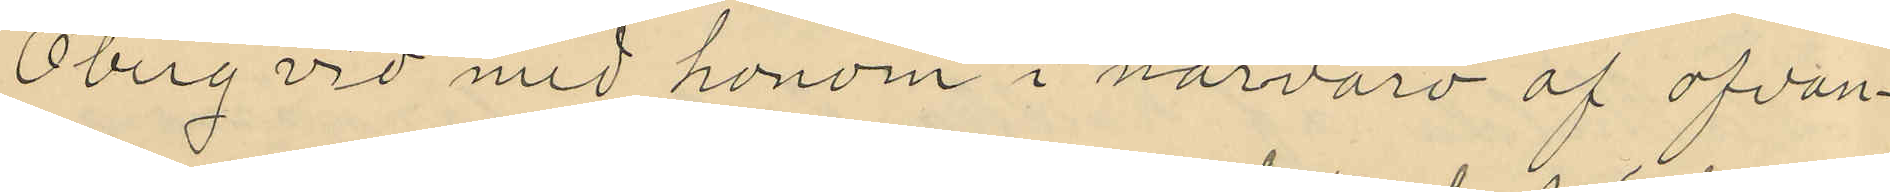Öberg vid med honom i närvaro af ofvan¬
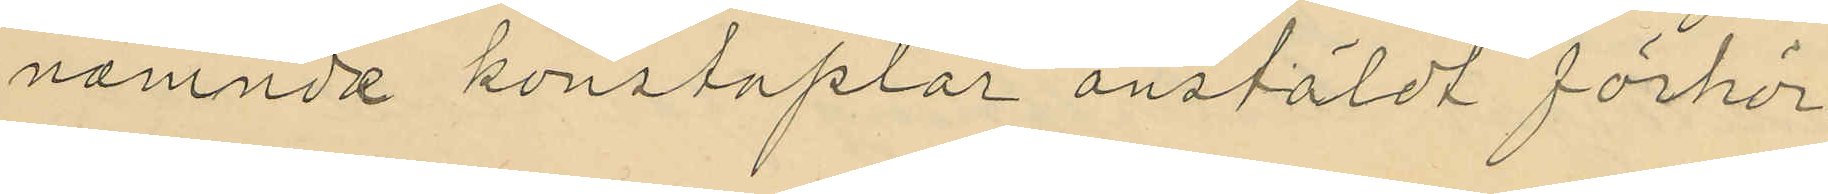nämnda konstaplar anstäldt förhör
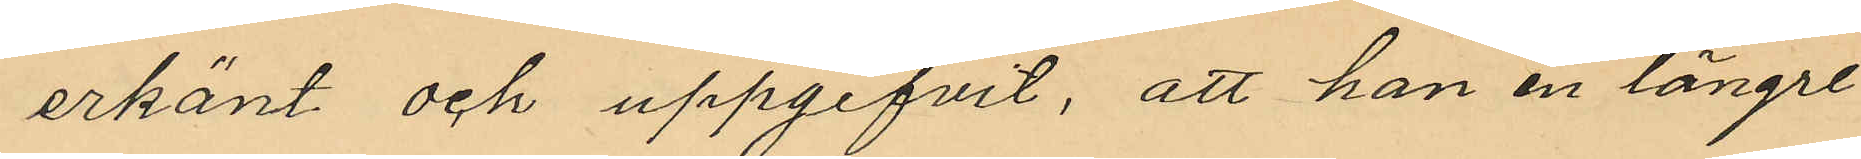erkänt och uppgifvit, att han en längre
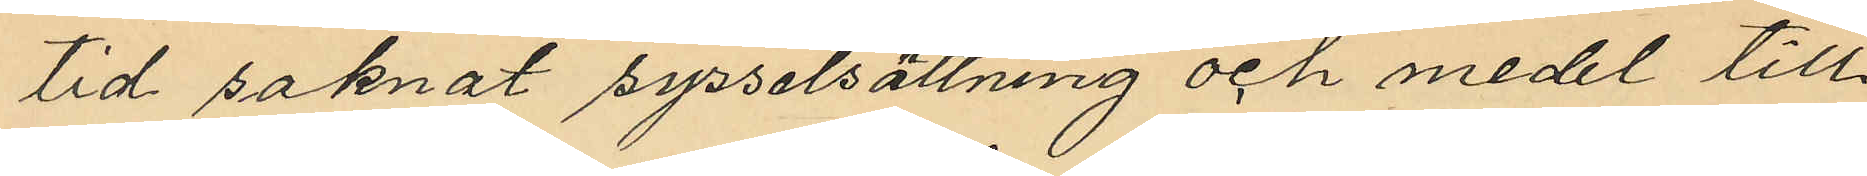tid saknat sysselsättning och medel till¬
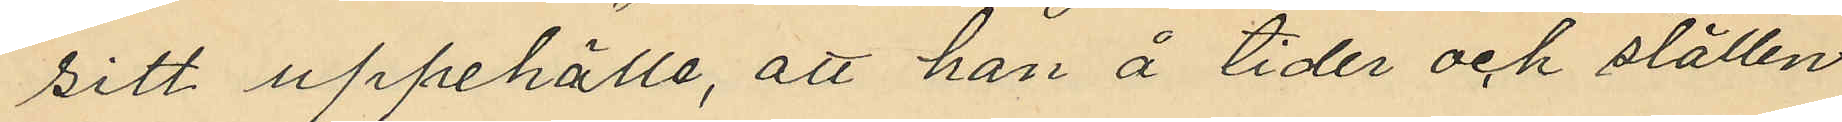sitt uppehälle, att han å tider och ställen
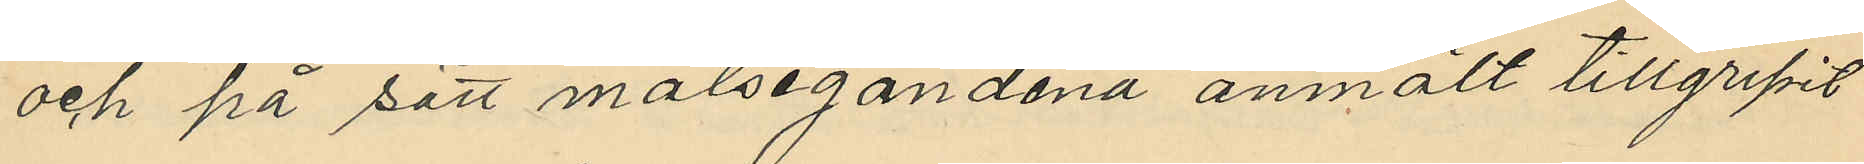och på sätt målsegandena anmält tillgripit
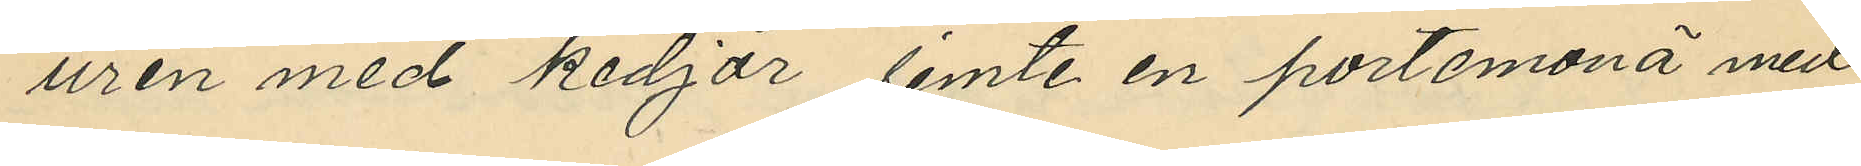uren med kedjor jemte en portemonä med
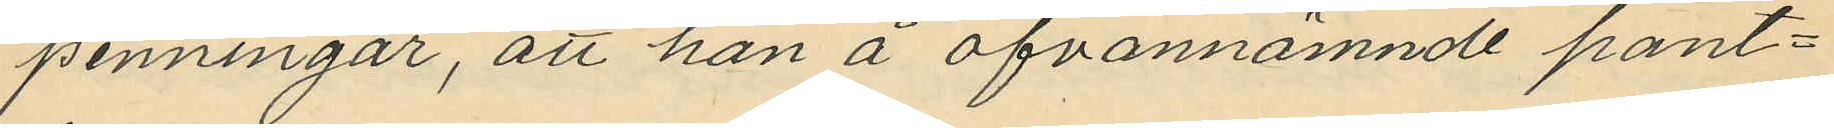penningar, att han å ofvannämnde pant¬
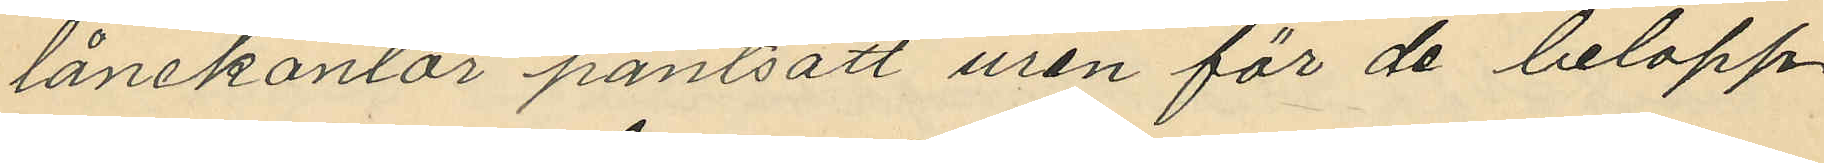lånekontor pantsatt uren för de belopp
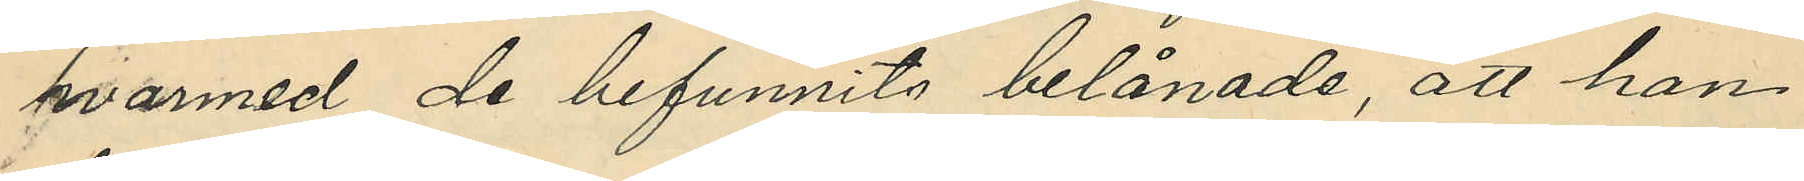hvarmed de befunnits belånade, att han
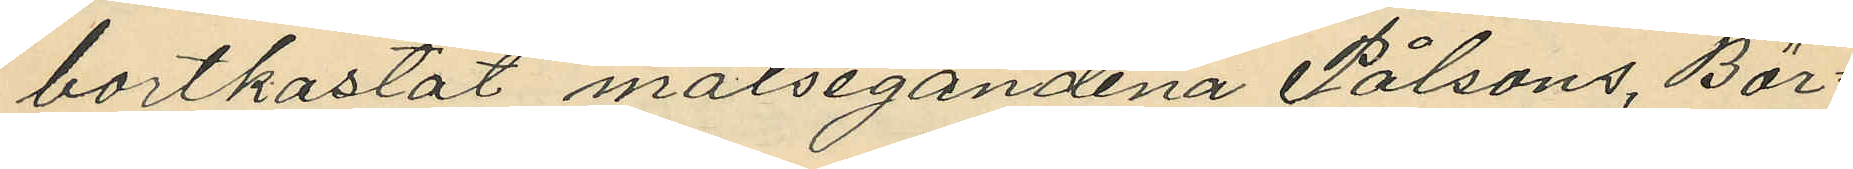bortkastat målsegandena Pålsons, Bör¬
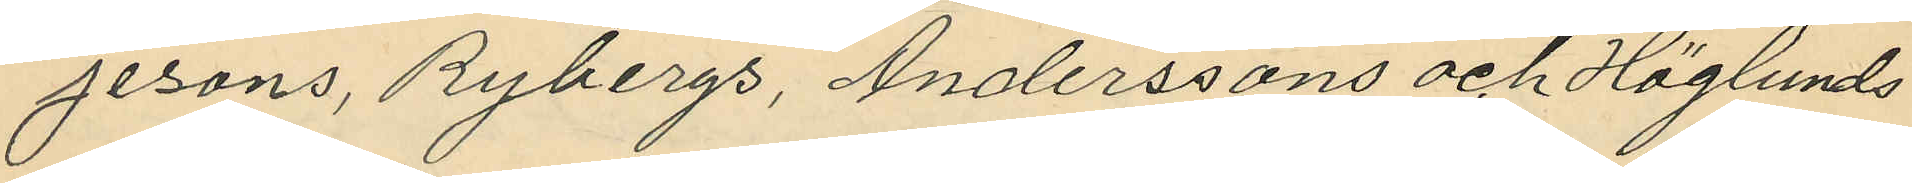jessons, Bybergs, Anderssons och Höglunds
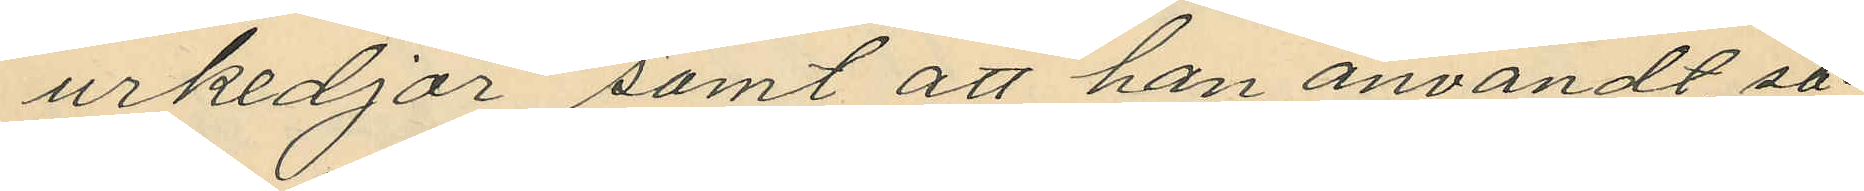urkedjor samt att han användt, så¬
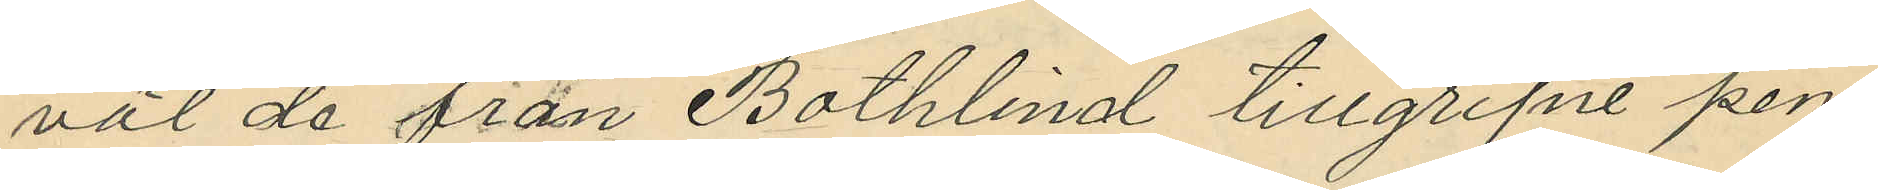väl de från Bothlind tillgripit pen¬
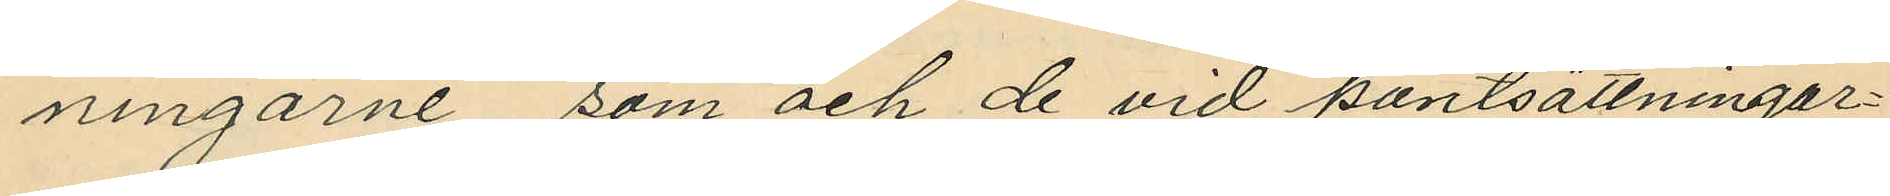ningarne som och de vid pantsättningar¬
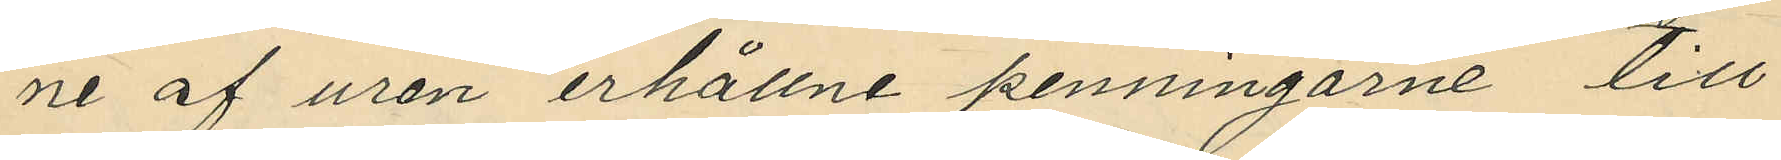ne af uren erhållne penningarne till
